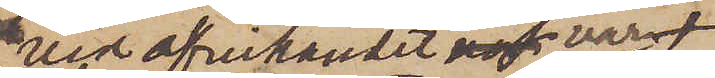vid afvikandet varit
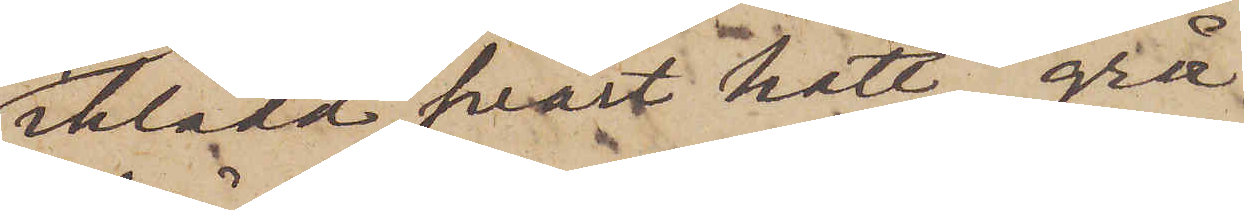iklädd svart hatt, grå
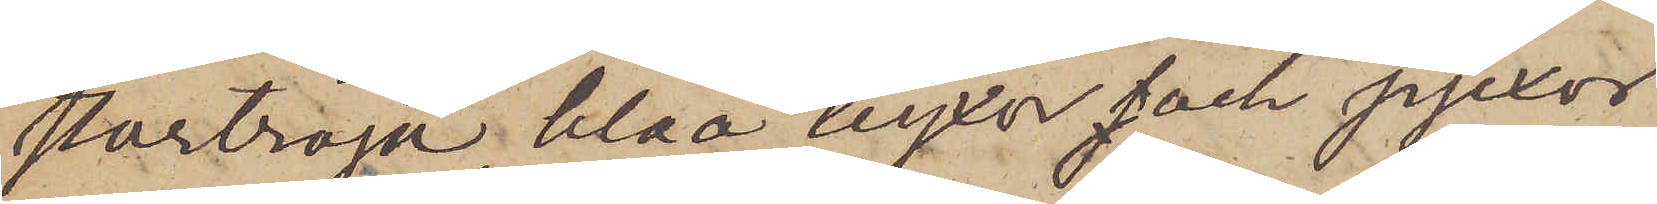stortröja, blåa byxor och pjexor
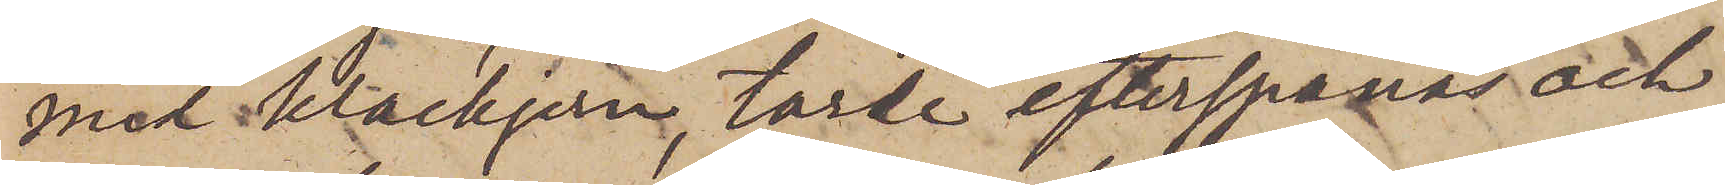med klackjern, torde efterspanas och,
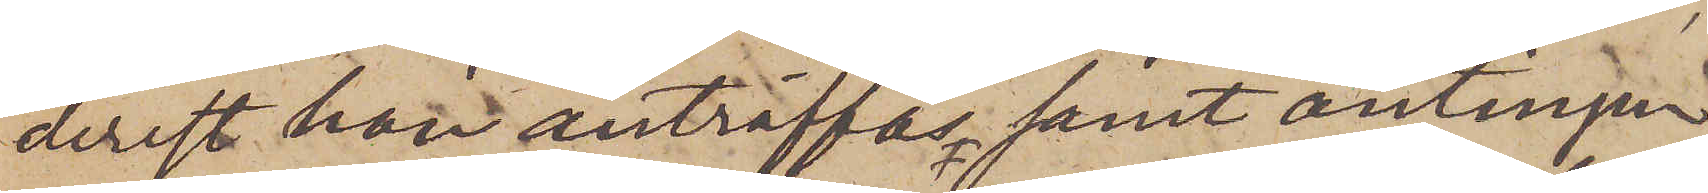derest han anträffas samt antingen
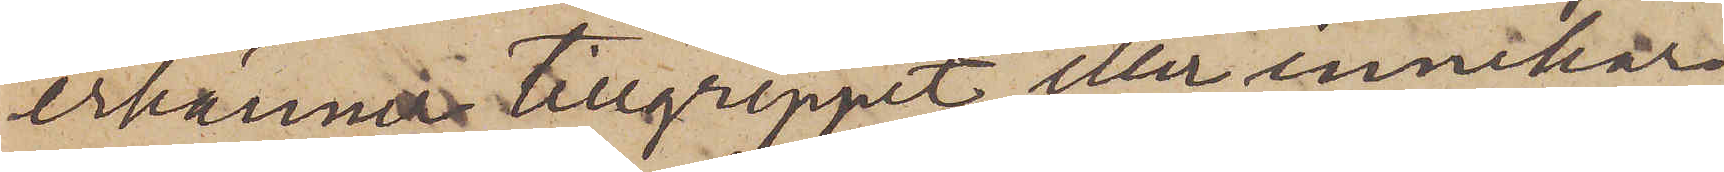erkänner tillgreppet eller innehar
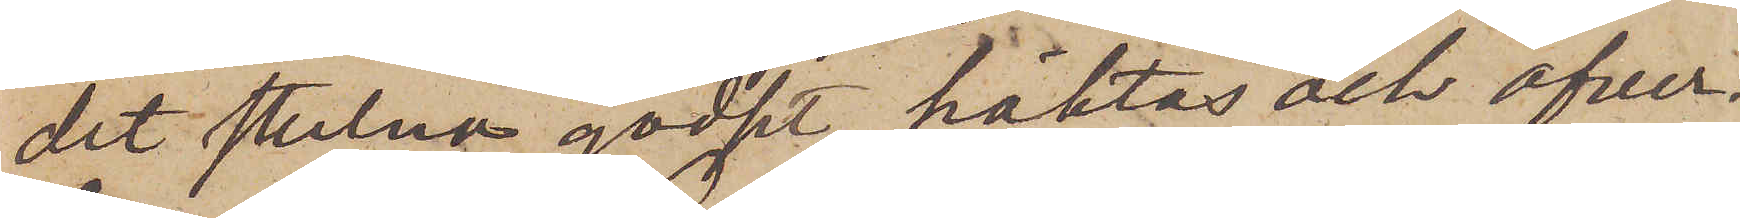det stulna godset, häktas och öfver¬
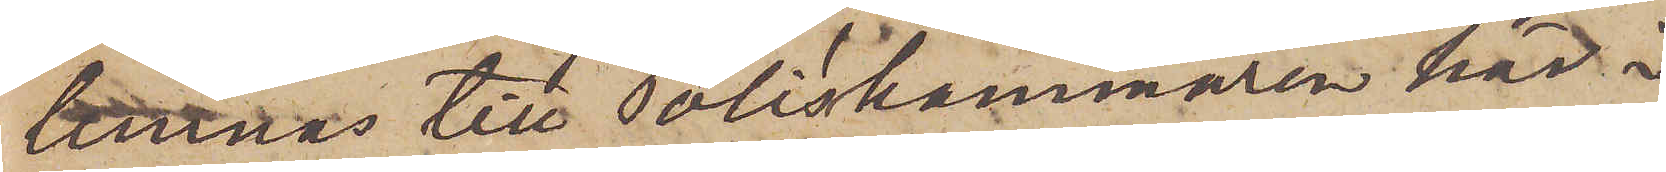lämnas till Poliskammaren här i
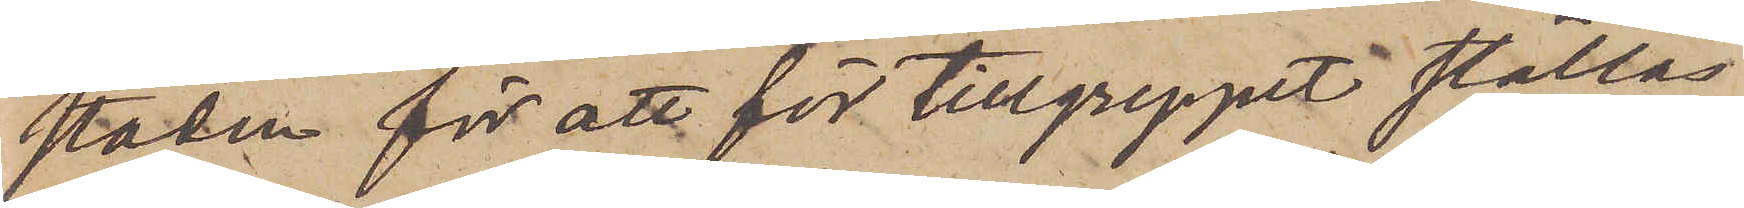staden för att för tillgreppet ställas
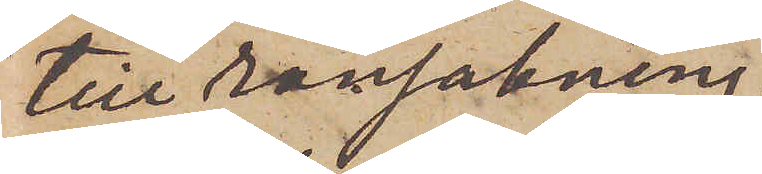till ransakning.
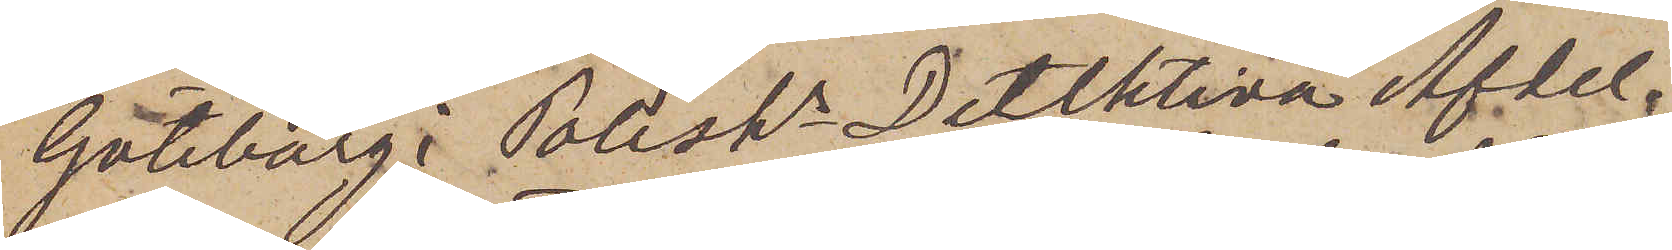Göteborg i Poliskr Detektiva Afdel¬
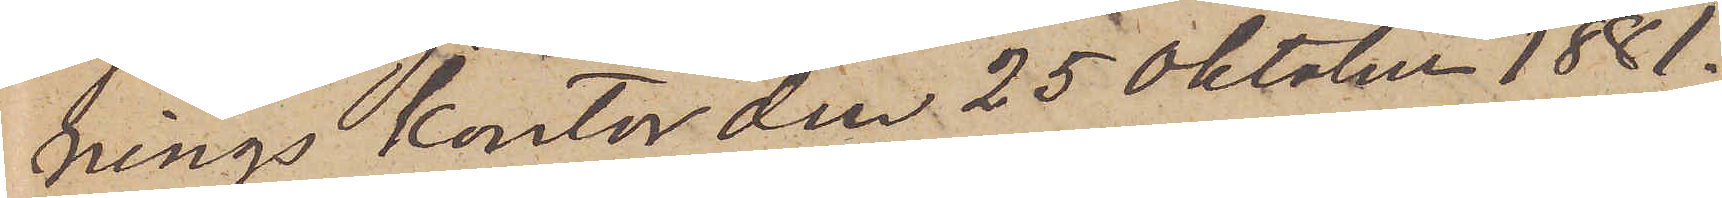nings kontor den 25 Oktober 1881.
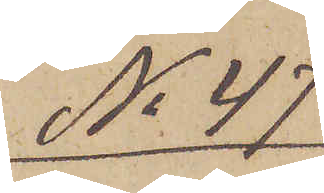No 47
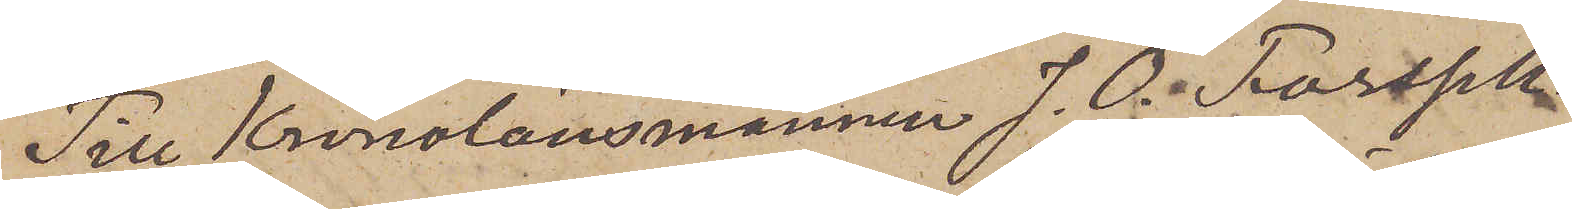Till Kronolänsmannen J. O. Forssell.
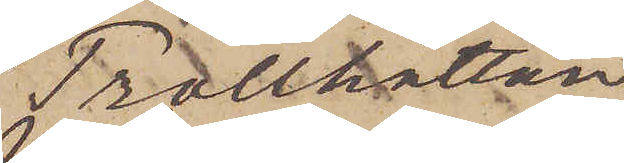Trotthättan
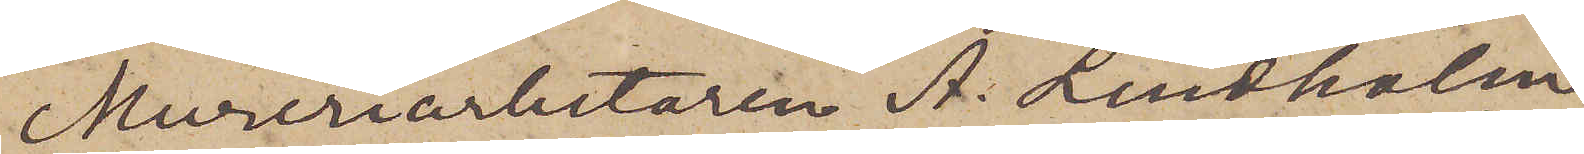Mureriarbetaren A. Lindholm,
